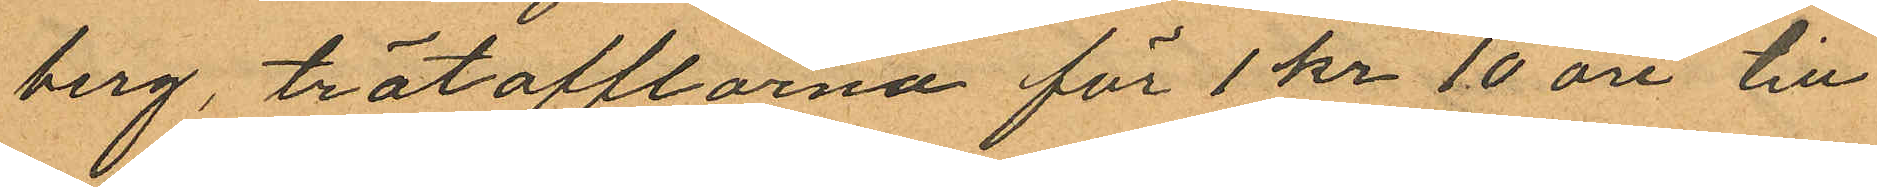berg, trätofflorna för 1 kr 10 öre till
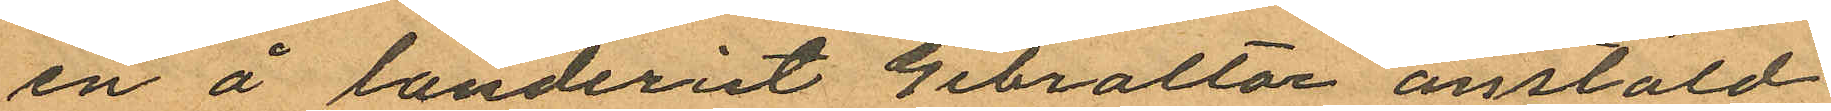en å landeriet Gibraltar anstäld
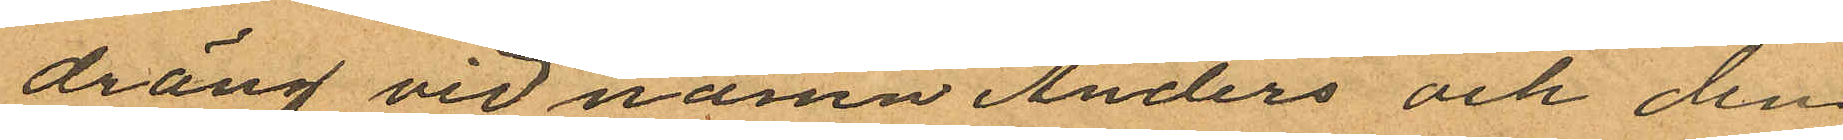dräng vid namn Anders och den
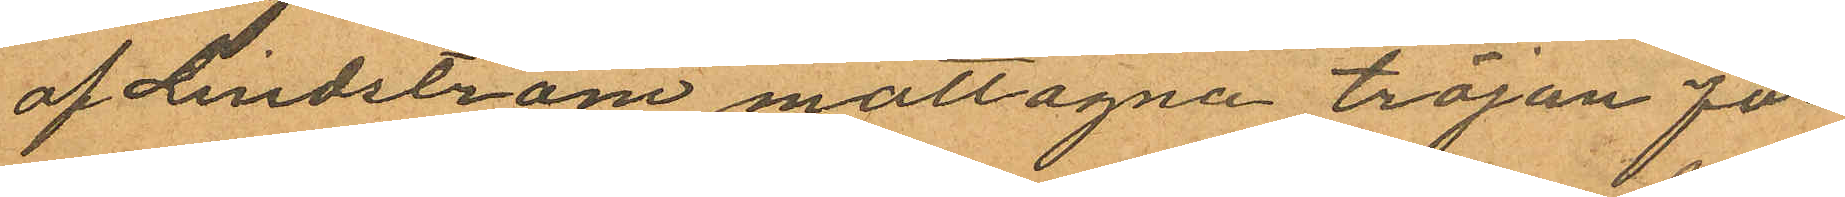af Lindström mottagna tröjan för
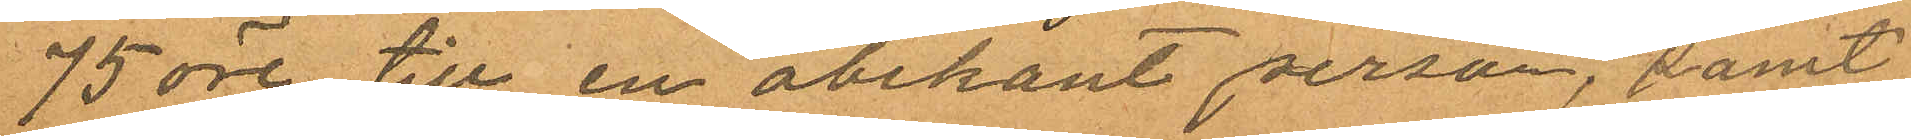75 öre till en obekant person, samt
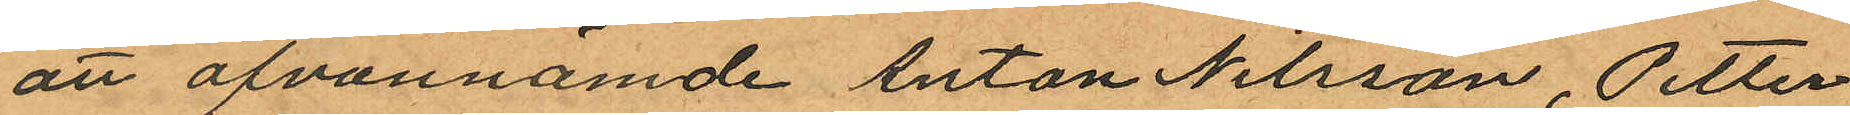att ofvannämde Anton Nilsson, Petter
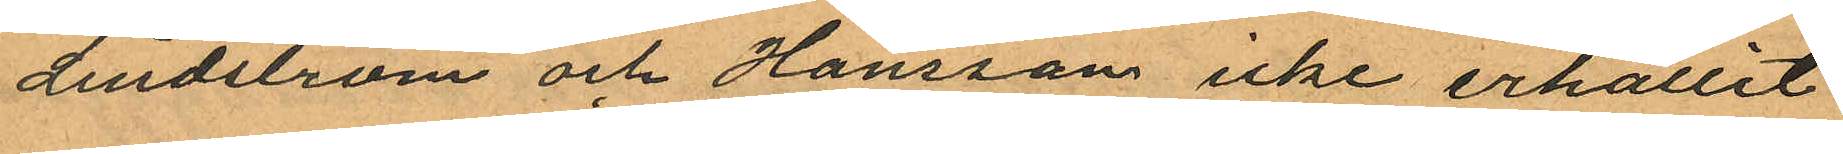Lindström och Hansson icke erhållit
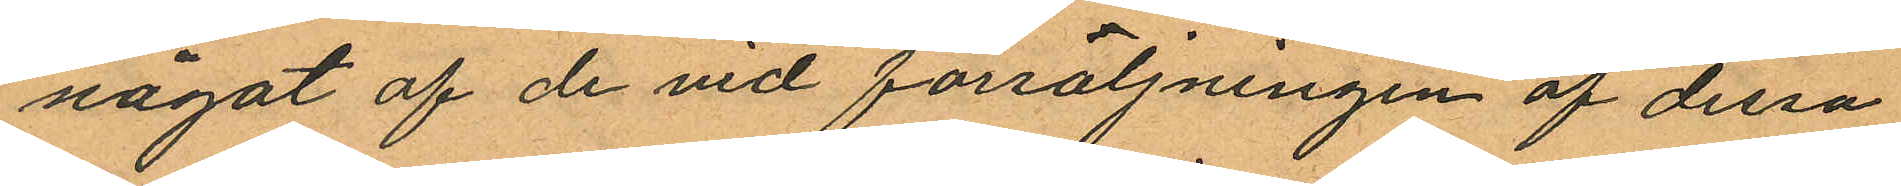något af de vid försäljningen af dessa
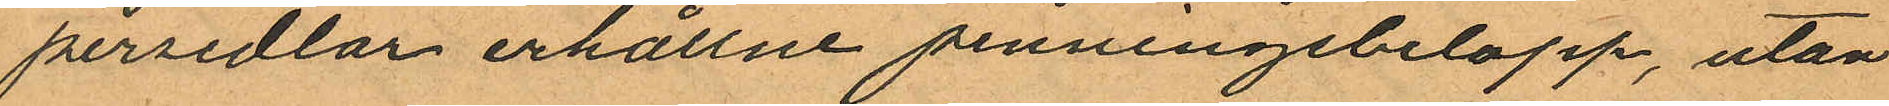persedlar erhållne penningebelopp, utan
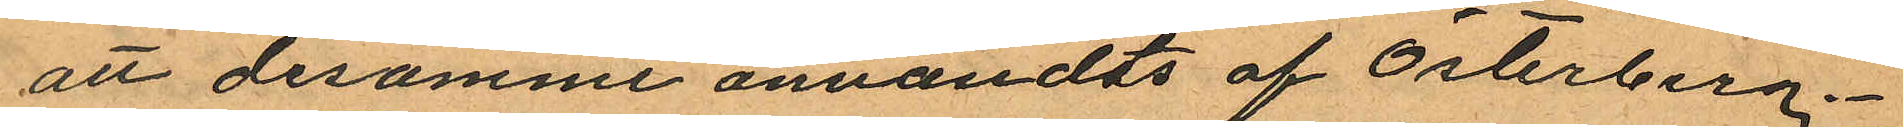att desamme användts af Österberg.
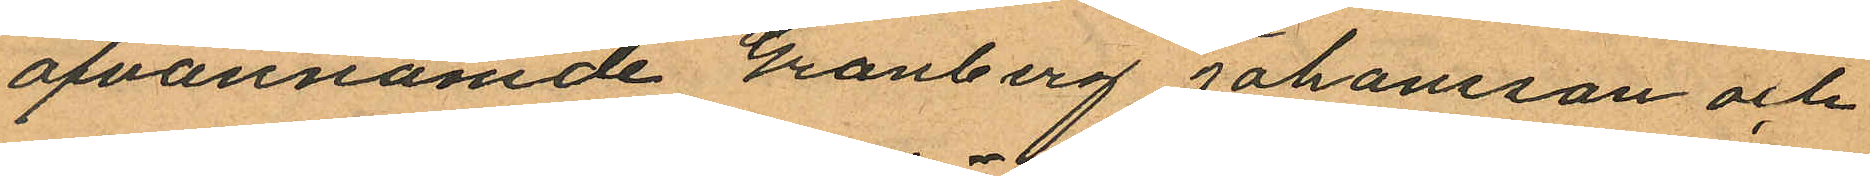ofvannämde Granberg Johansson och
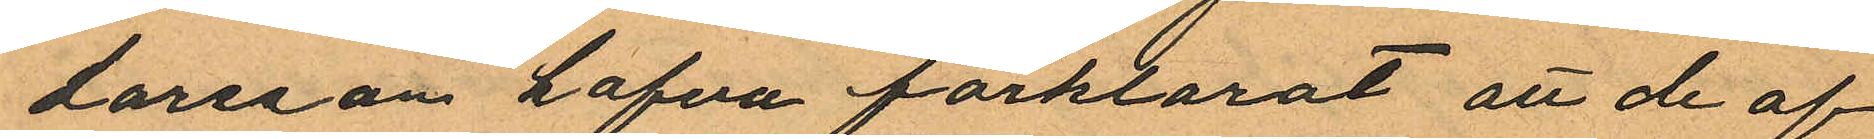Larsson hafva förklarat att de af
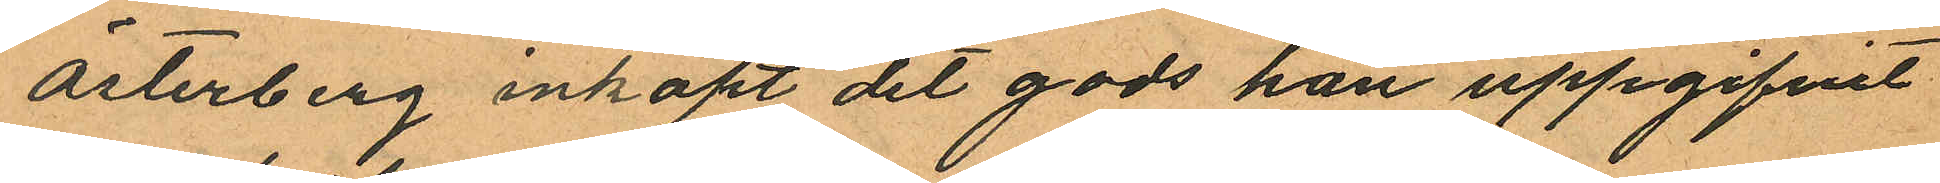Österberg inköpt det gods han uppgifvit
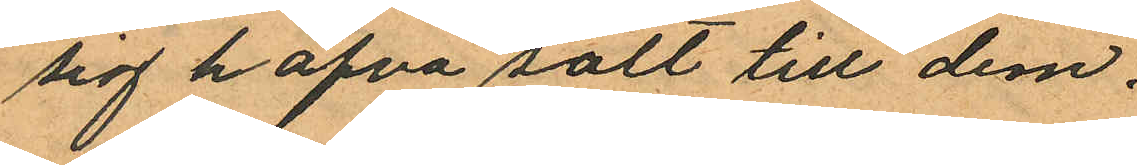sig hafva sålt till dem.
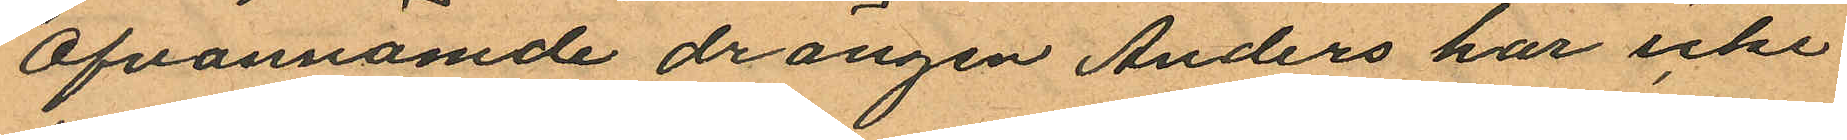Ofvannämde drängen Anders har icke
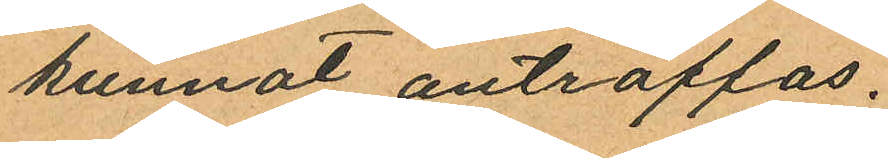kunnat anträffas.
